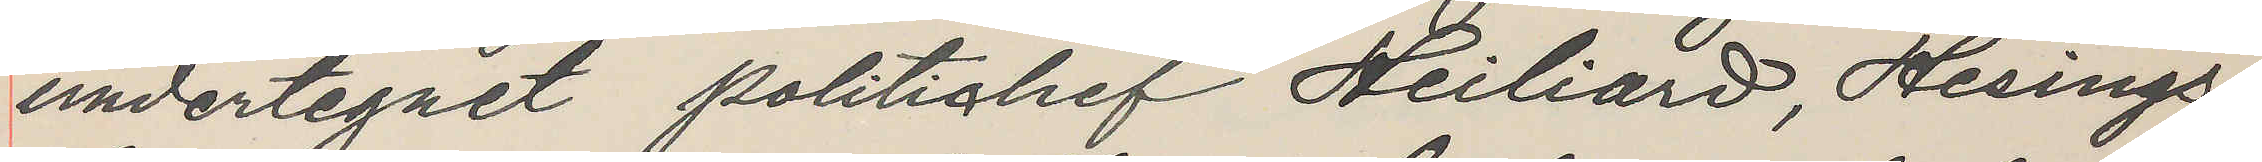undertegnet politichef Heiliard, Hesings¬
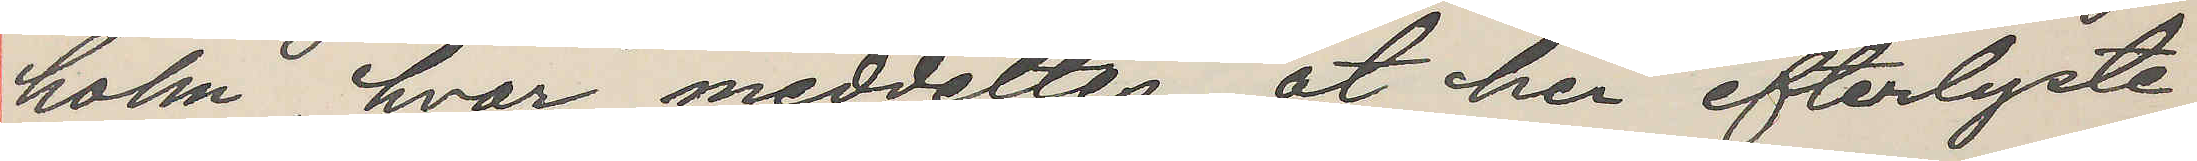holm, hvor meddeltes, at her efterlyste
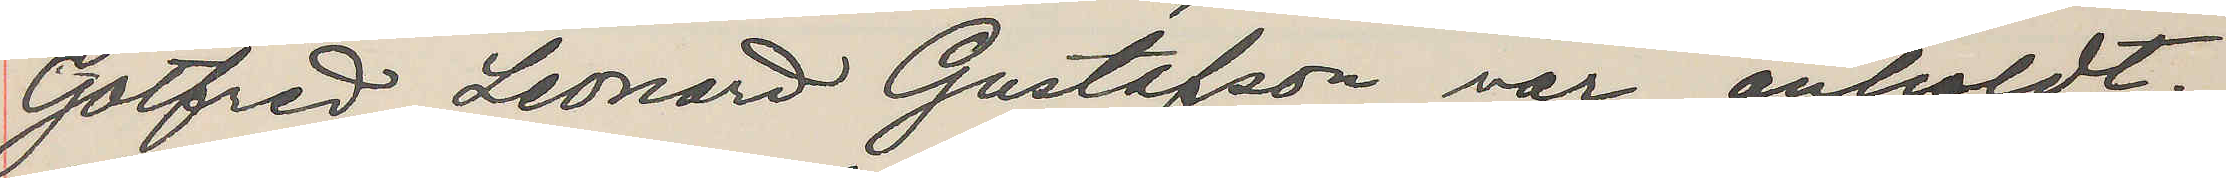Gotfred Leonard Gustafson var anholdt.
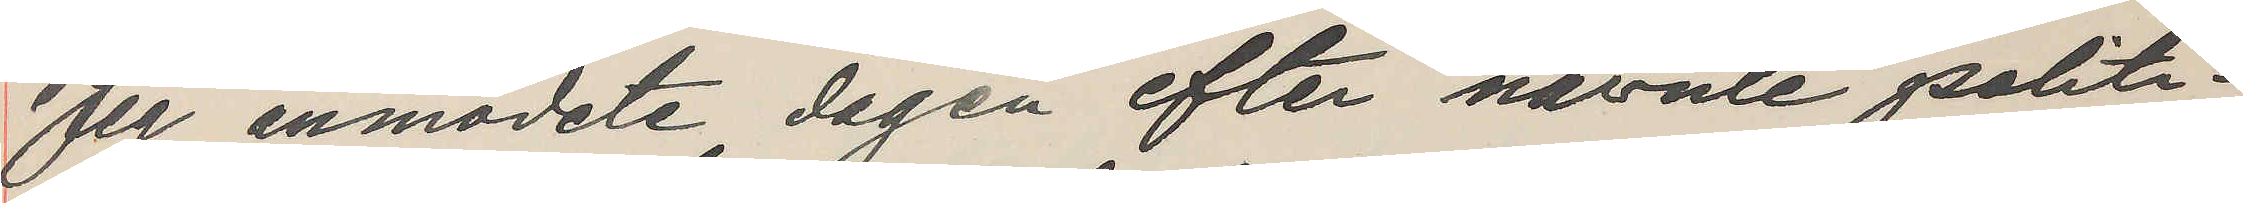Jeg anmodete dagen efter nävnte politi¬
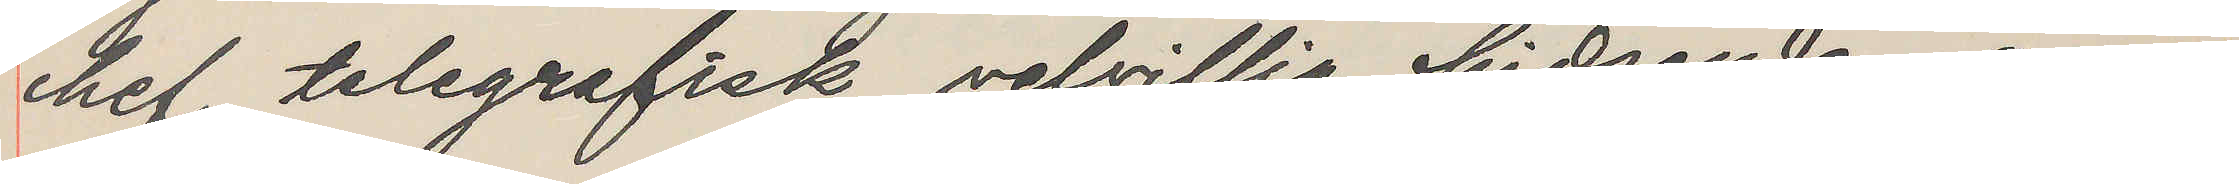chef telegrafisk velvillig hidsende an¬
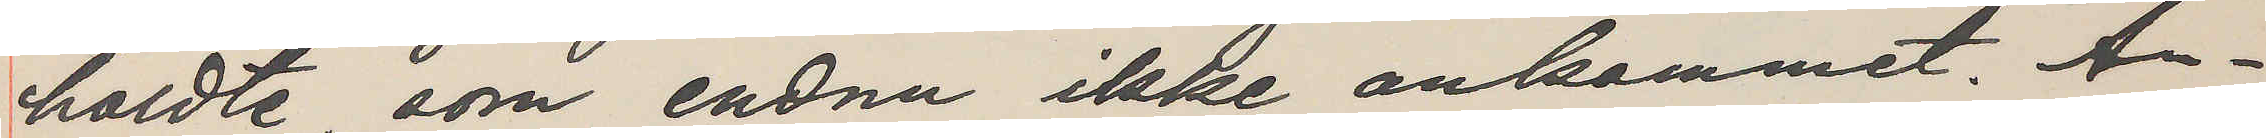holdte, som endnu ikke ankommet. An¬
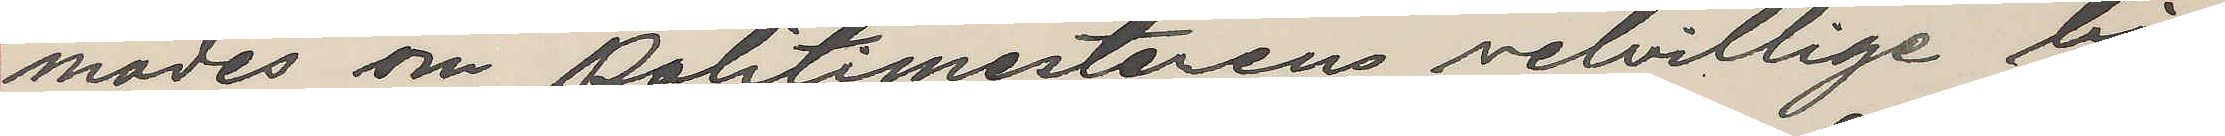modes om politimesterens velvillige bi¬
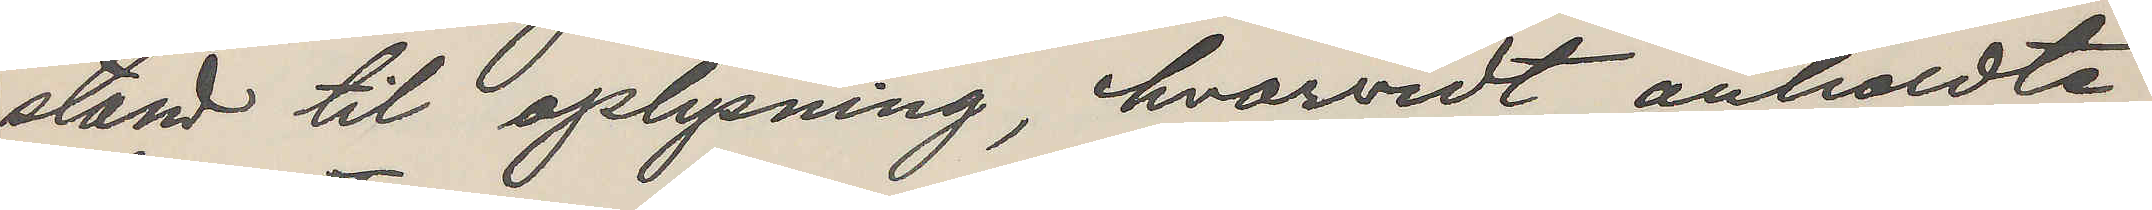stand til oplysning, hvarvidt anholdte
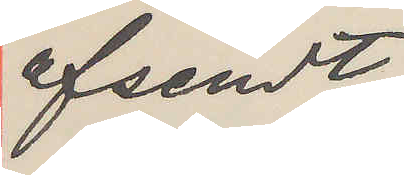afsendt.
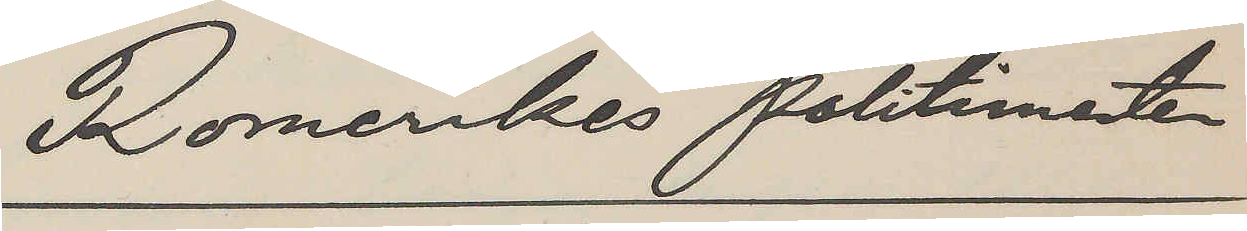Romerikes Politimestere
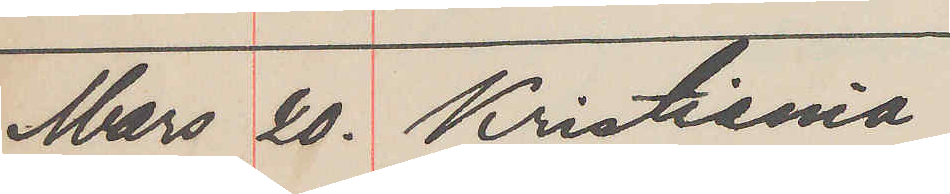Mars 20. Kristiania
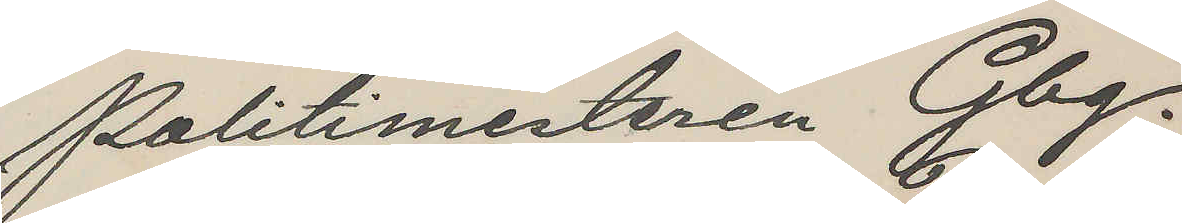Politimesteren Gbg.
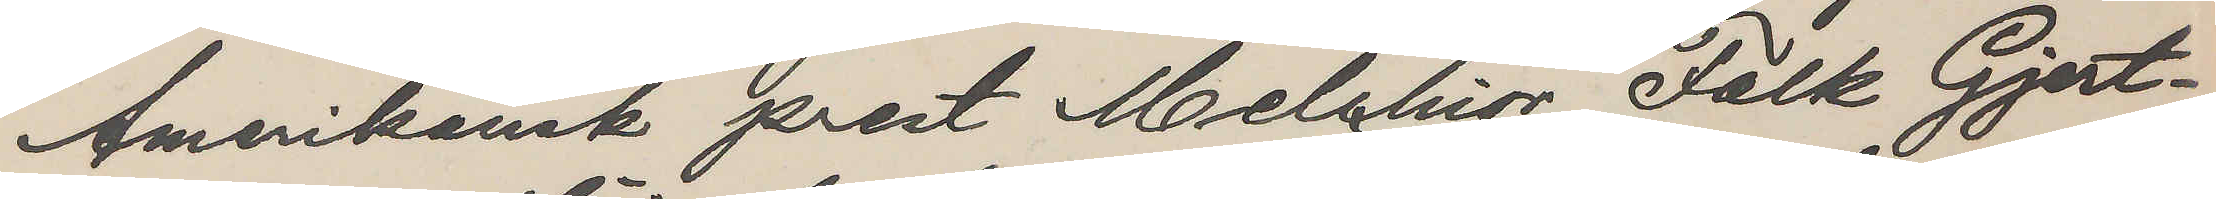Amerikansk prest Melchior Falk Gjert¬
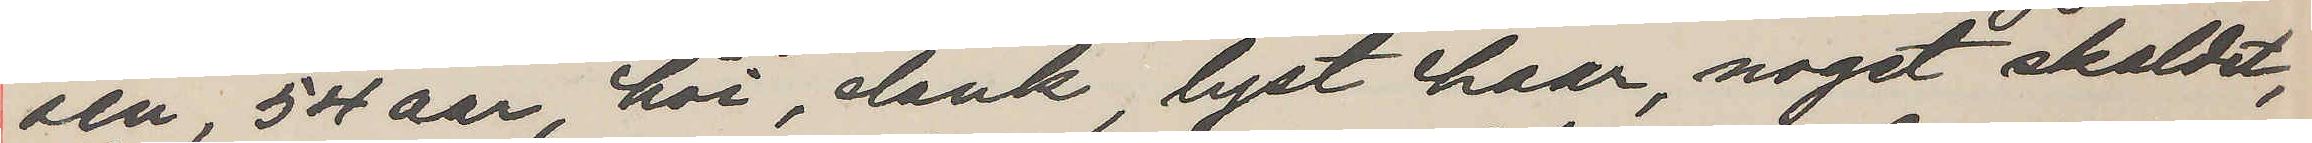sen, 54 aar, höi, slank, lyst haar, noget skaldet,
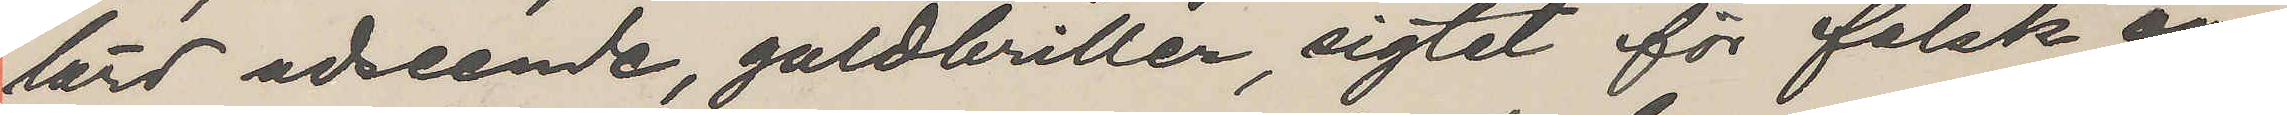lärd udseende, guldbriller, sigtet för falsk an¬
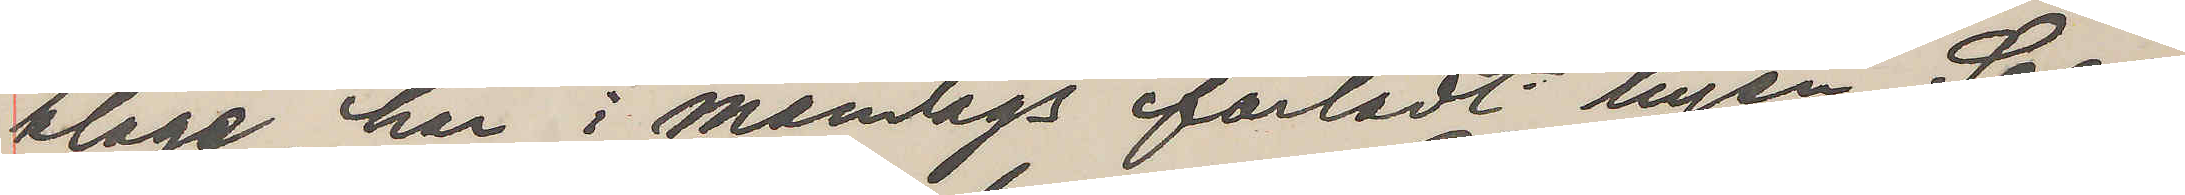klage, har i mandags forladt byen. Sees
